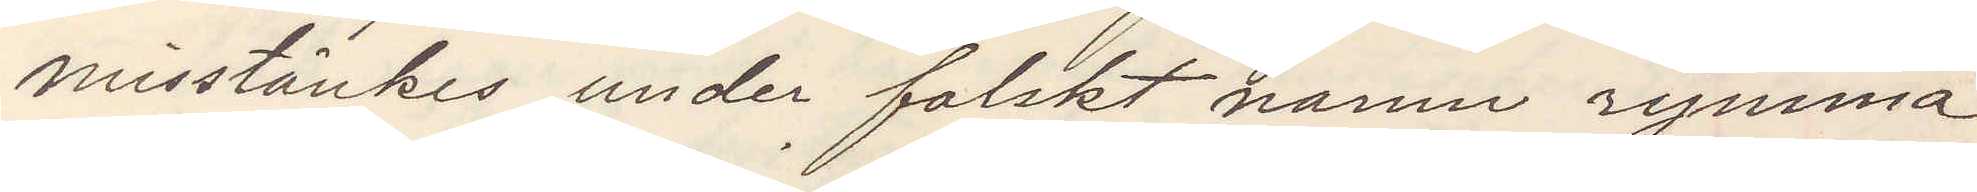misstänkes under falskt namn rymma
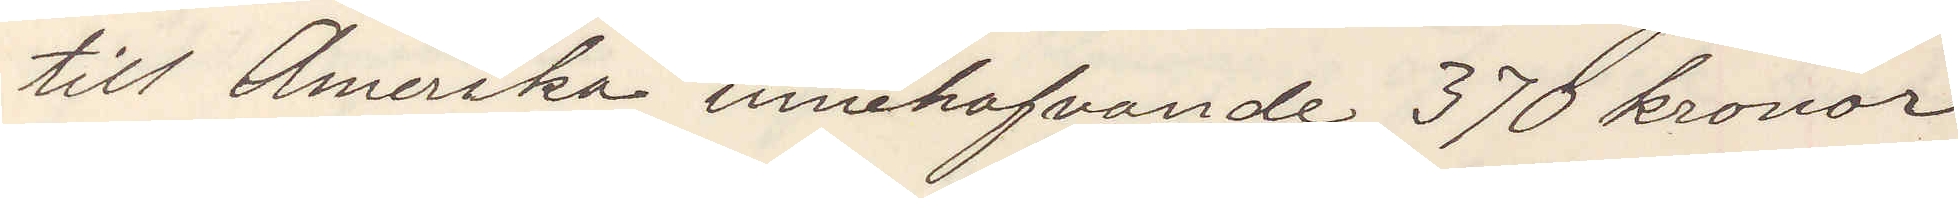till Amerika innehafvande 370 kronor
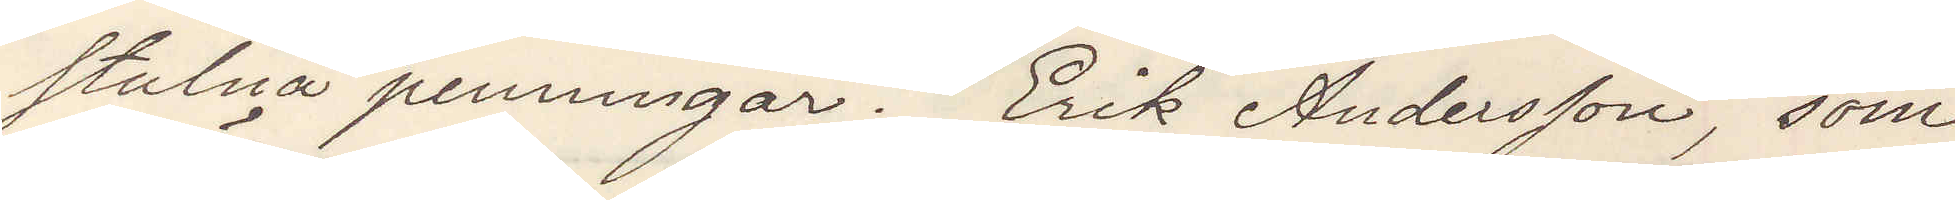stulna penningar. Erik Anderson, som
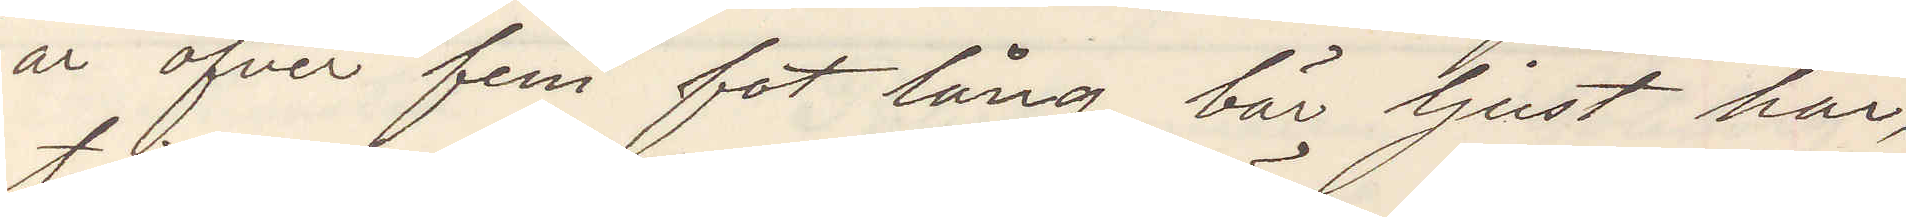är öfver 5 fot lång, bär ljust hår
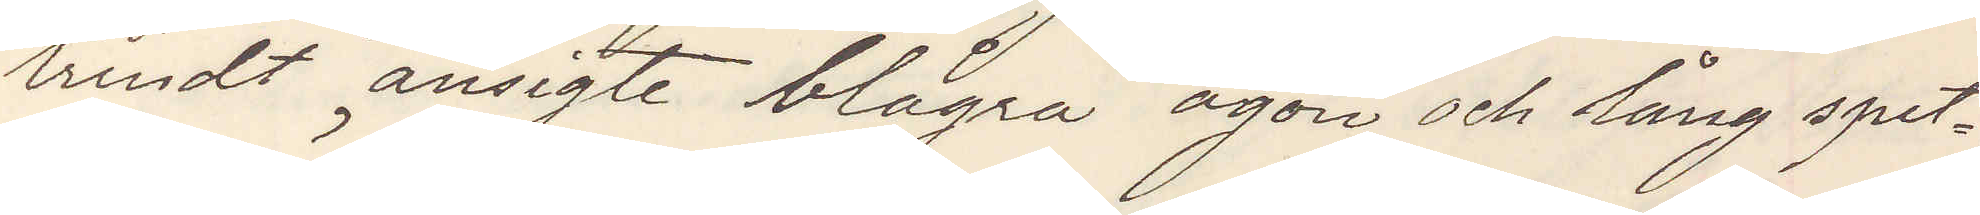trindt ansigte blågrå ögon och lång spet¬
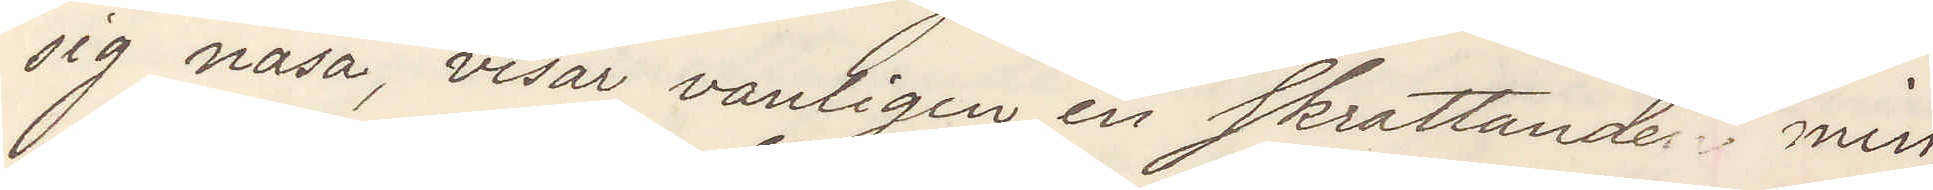sig näsa, visar vanligen en skrattande min,
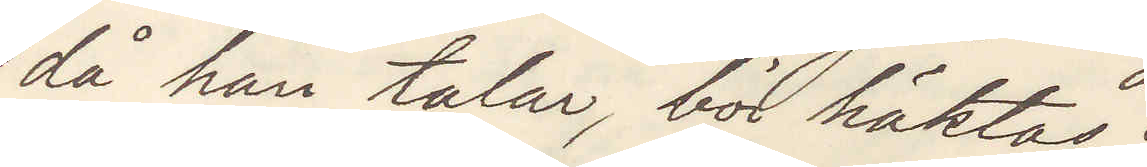då han talar, bör häktas.
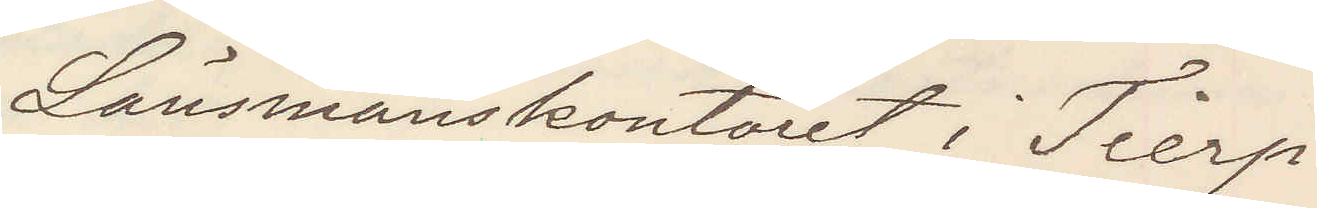Länsmanskontoret i Tierp
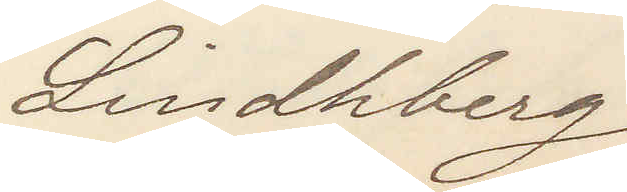Lindhberg
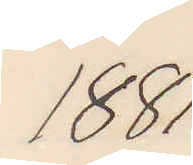1881
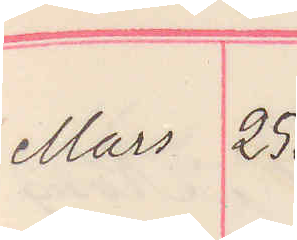Mars 25.
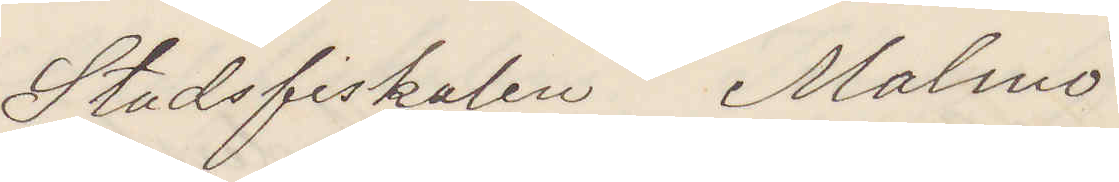Stadsfiskalen Malmö.
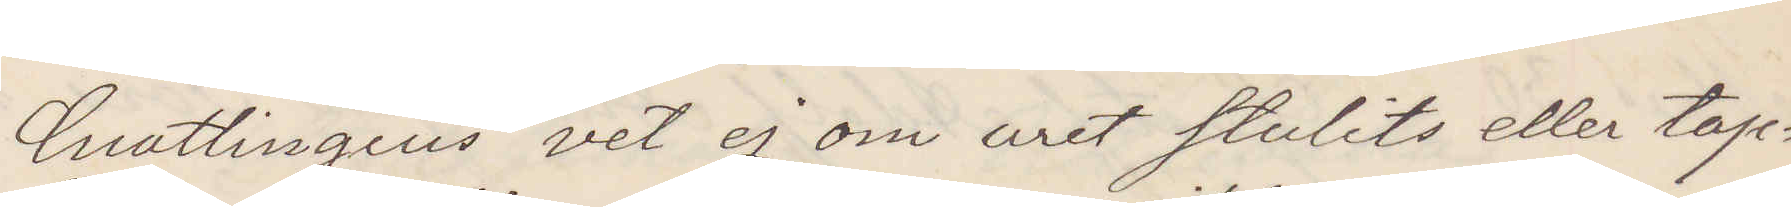Cnattingius vet ej om uret stulits eller tap¬
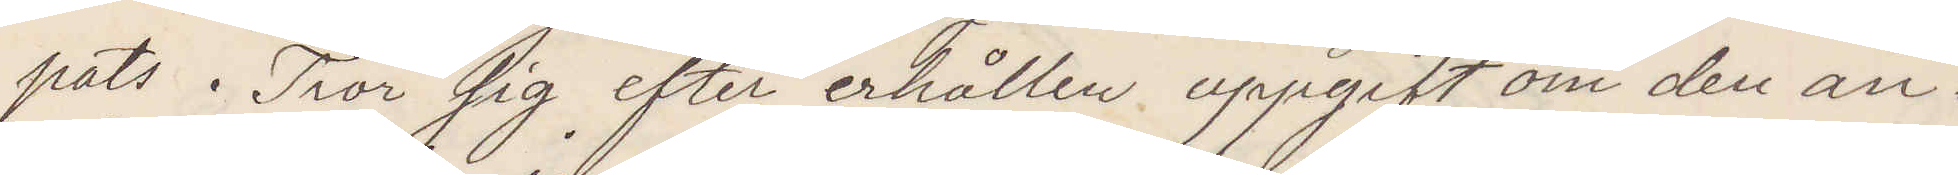pats tror sig efter erhållen uppgift om den an¬
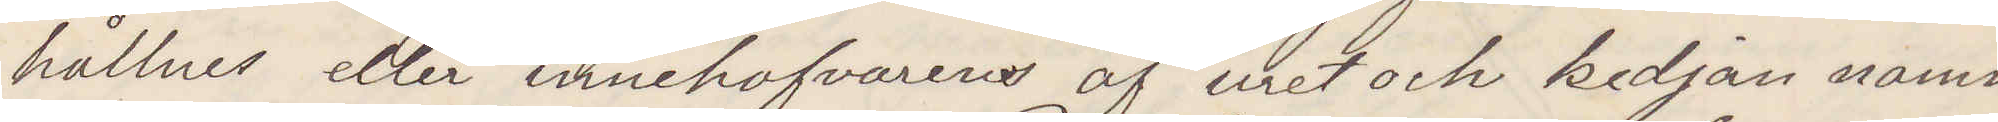hållnes eller innehafvarens af uret och kedjan namn
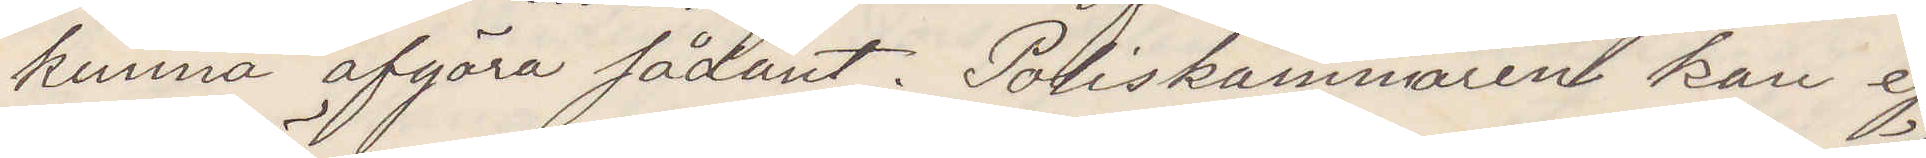kunna afgöra sådant. Polikammaren kan ej
